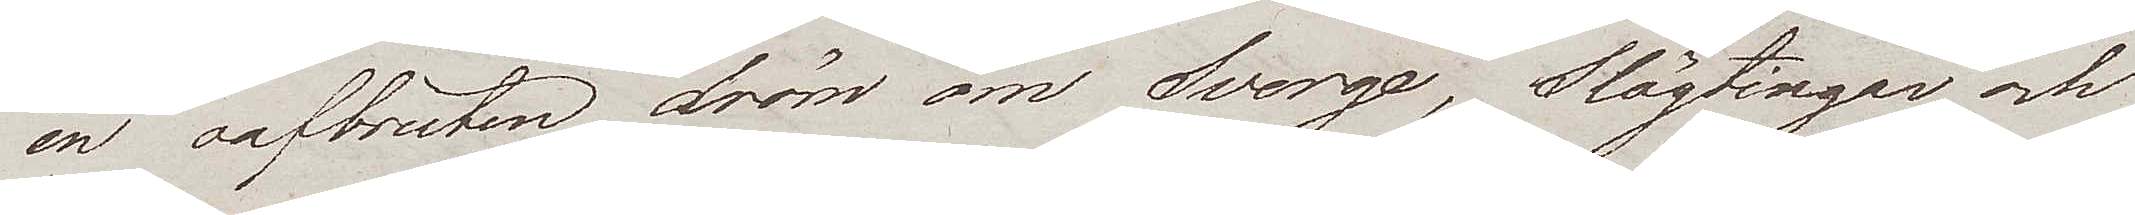en oafbruten dröm om Sverge, Slägtingar och
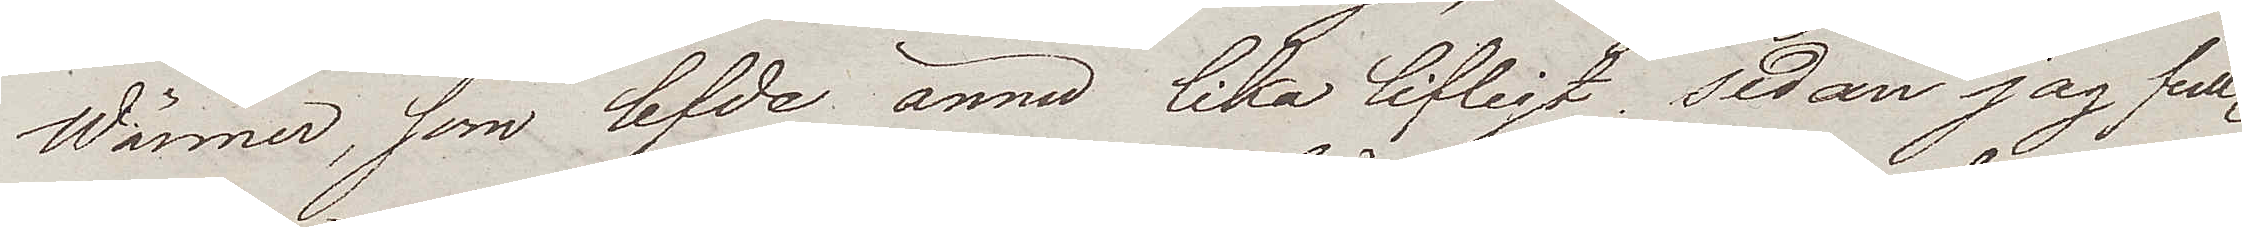Wänner, som lefde ännu lika lifligt sedan jag full¬
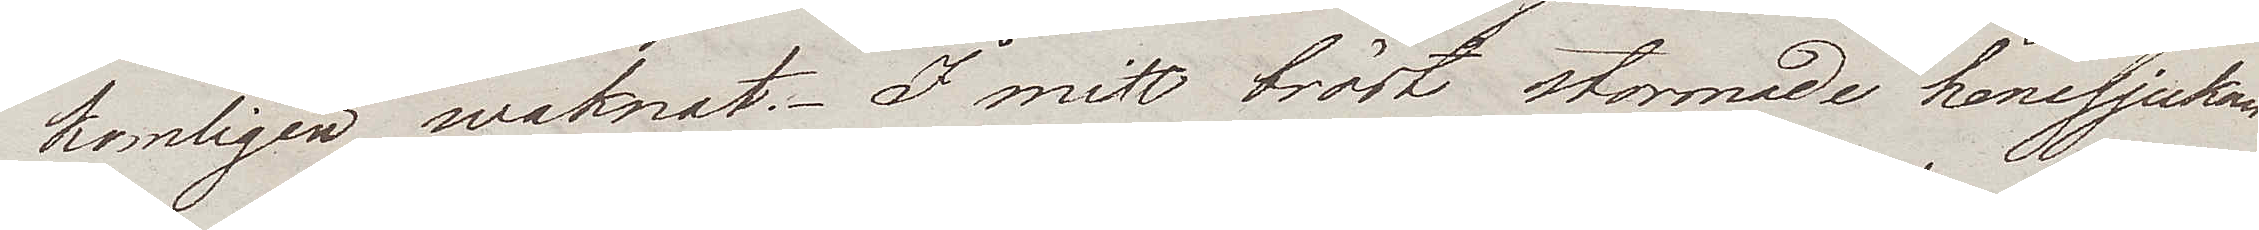komligen waknat. I mitt bröst stormade hemsjukan
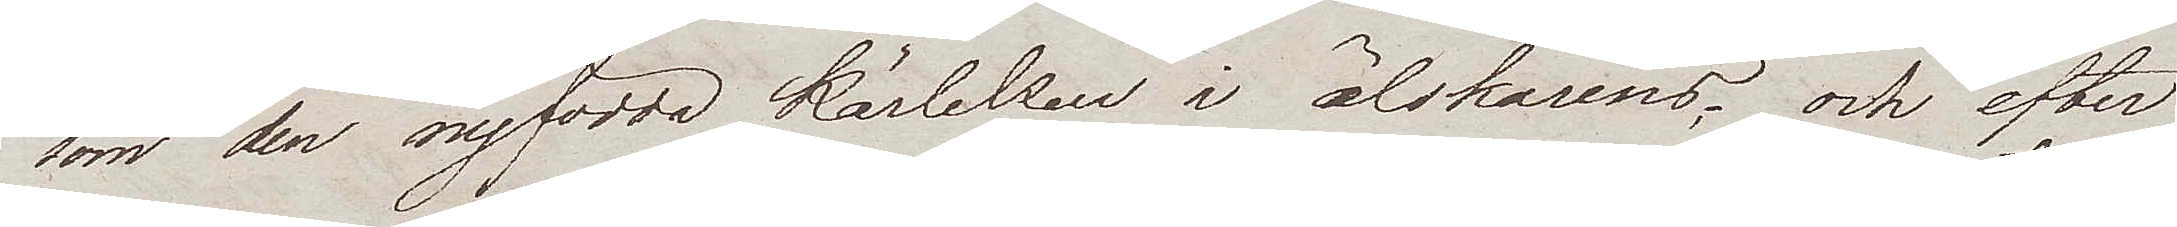som den nyfödda kärleken i älskarens; och efter
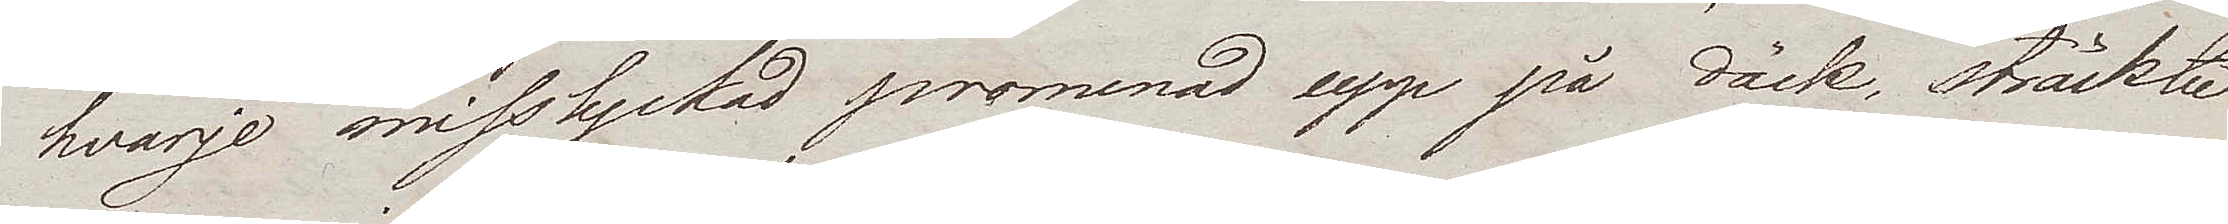hvarje misslyckad promenad upp på däck, sträckte
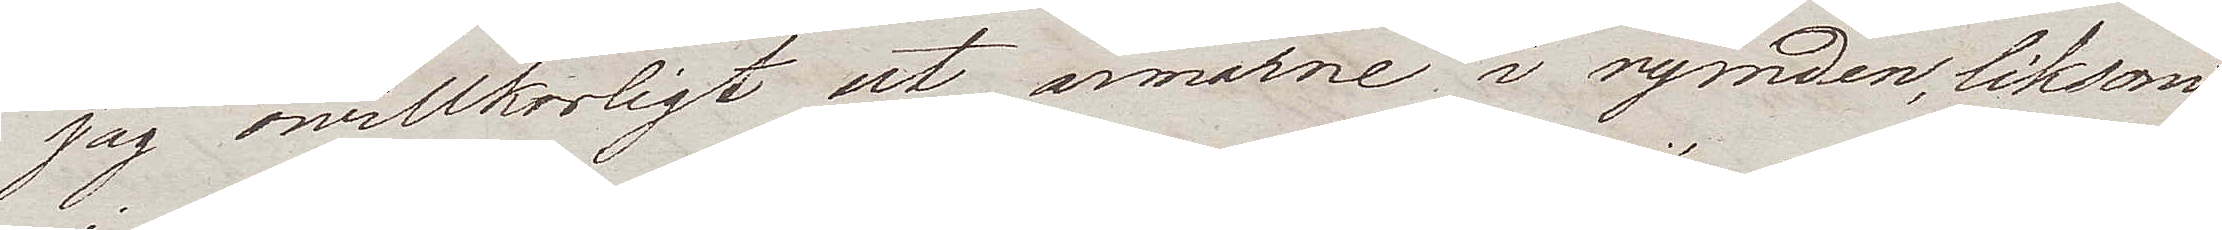jag owillkorligt ut armarne i rymden, liksom
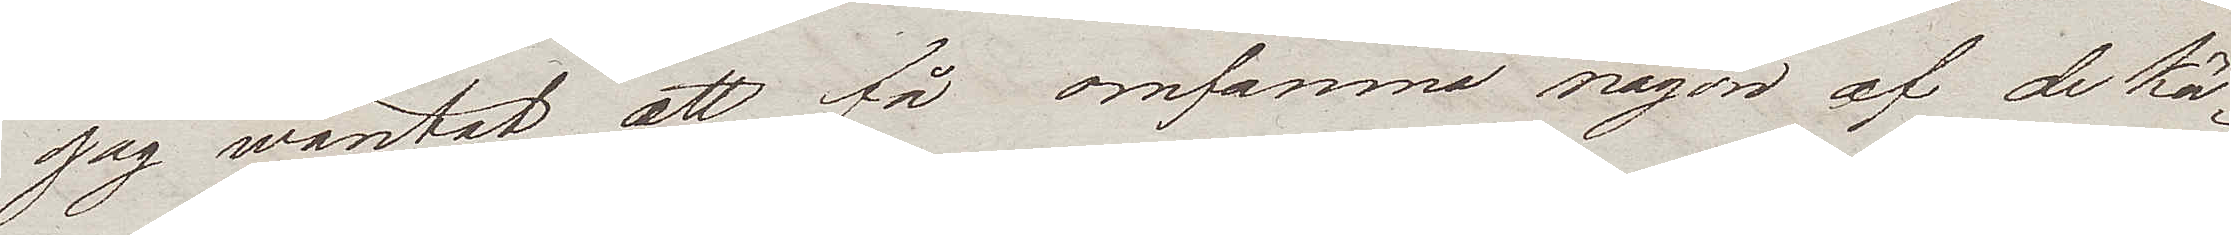jag wäntat att få omfamna någon af de kä¬
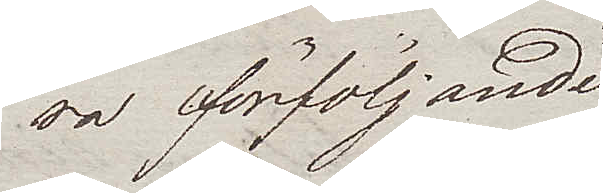ra förföljande
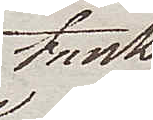tank
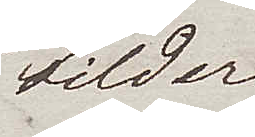bilder.
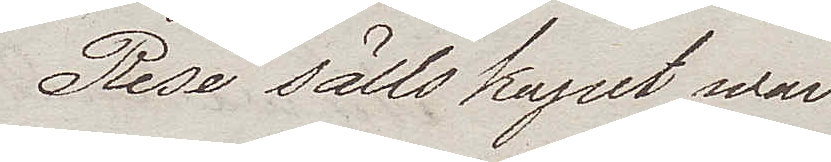Resesällskapet war
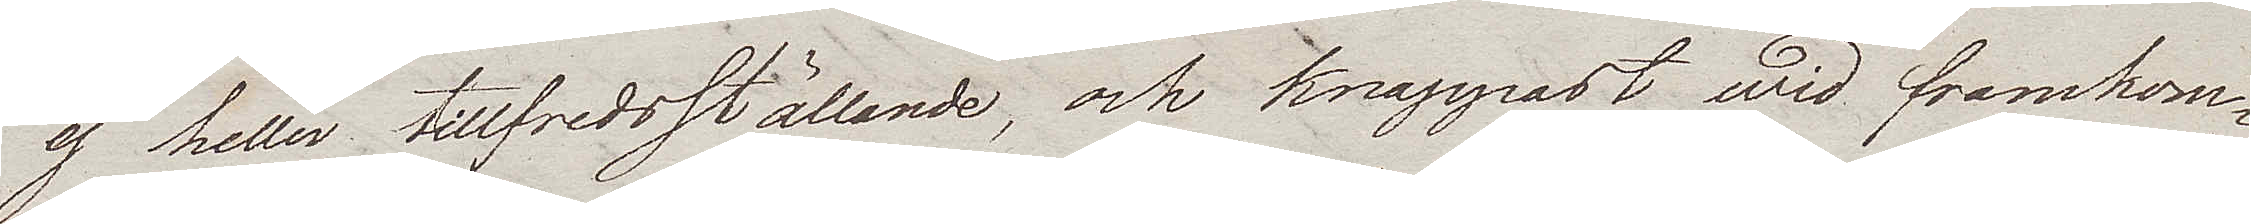ej heller tillfredsställande, och knappast wid framkom¬
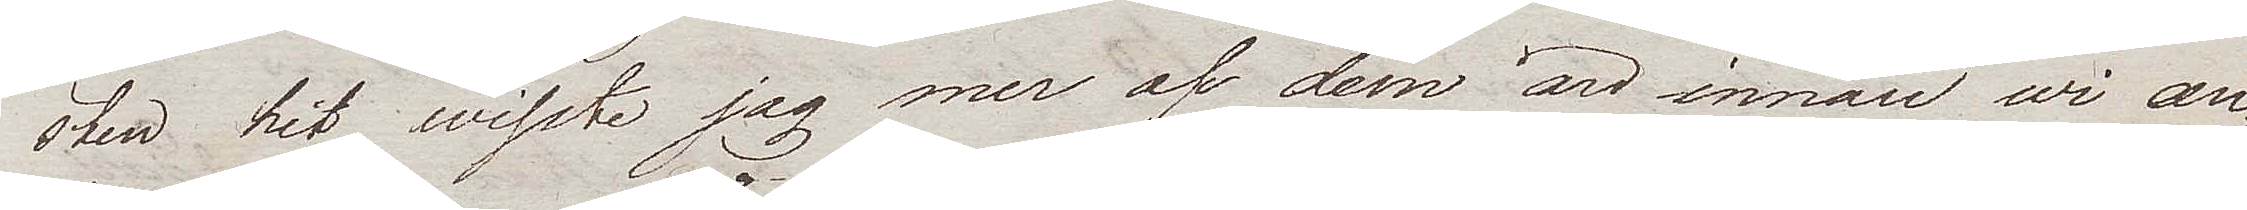sten hit wisste jag mer af dem än innan wi an¬
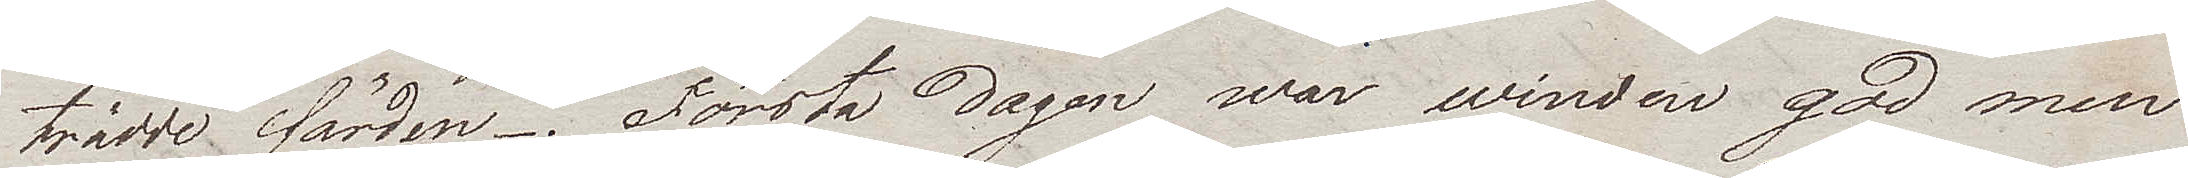trädde färden. Första dagen war winden god men
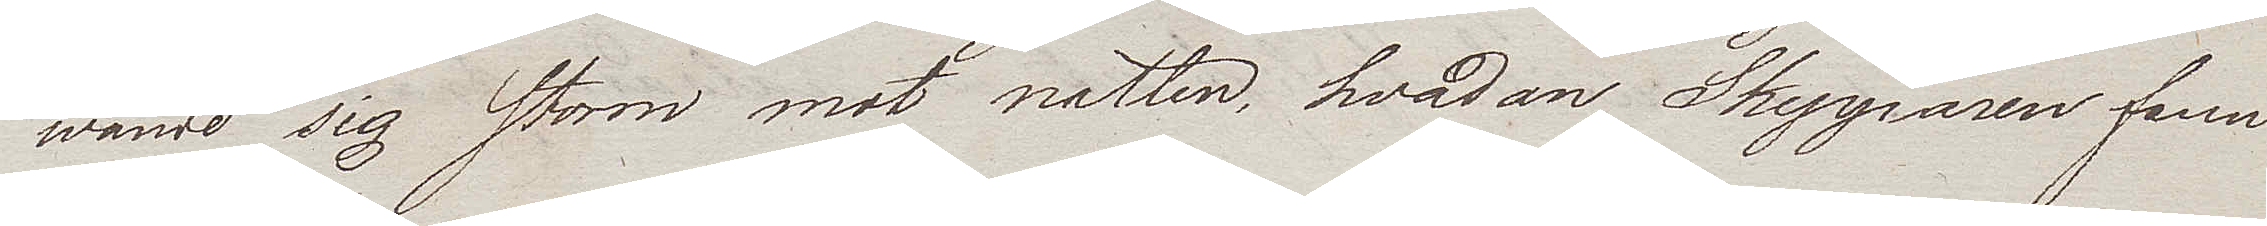wände sig storm mot natten, hvadan Skepparen fann
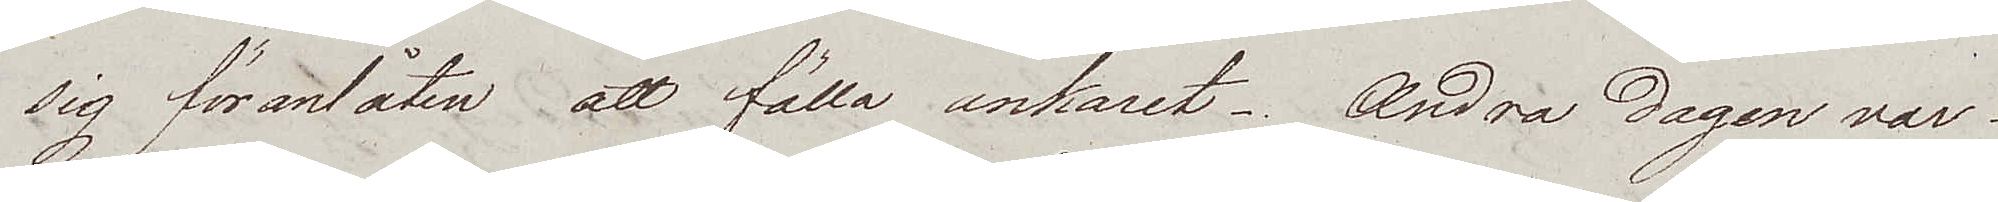sig föranlåten att fälla ankaret. Andra dagen var
